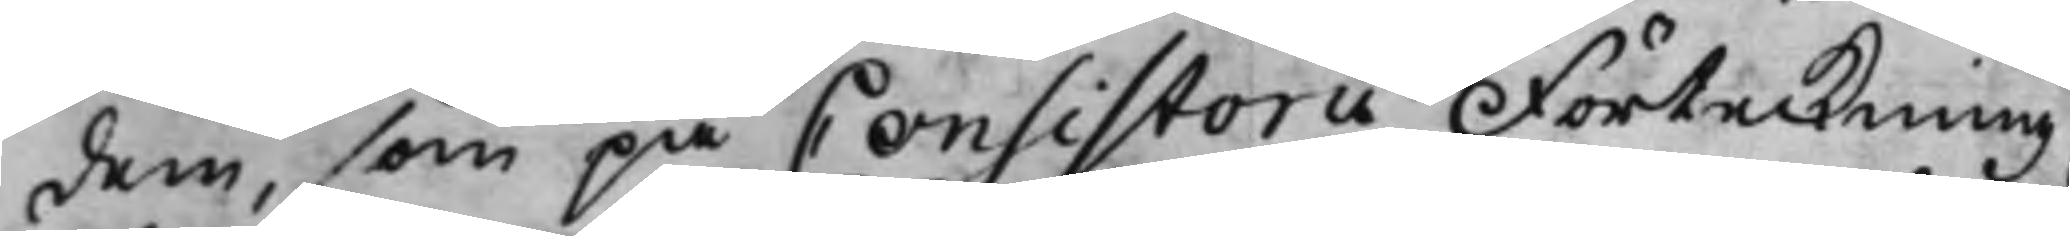dem, som på Consistorii Förteckning
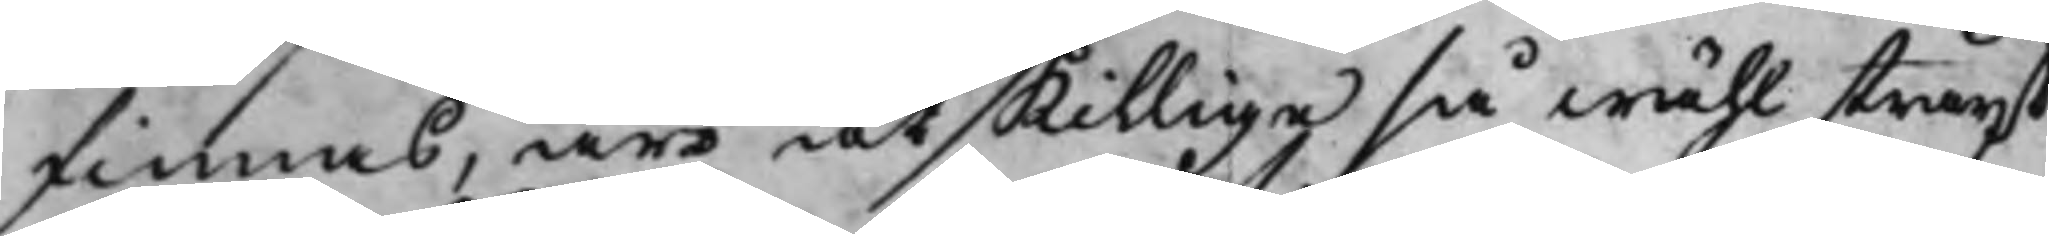finnas, äro åtskillige så wähl straxt
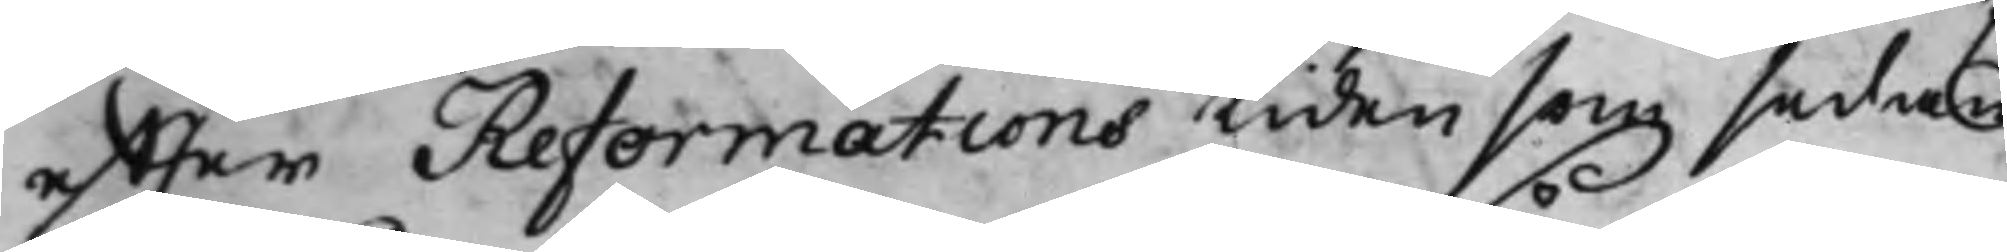effter Reformations tiden som sedan
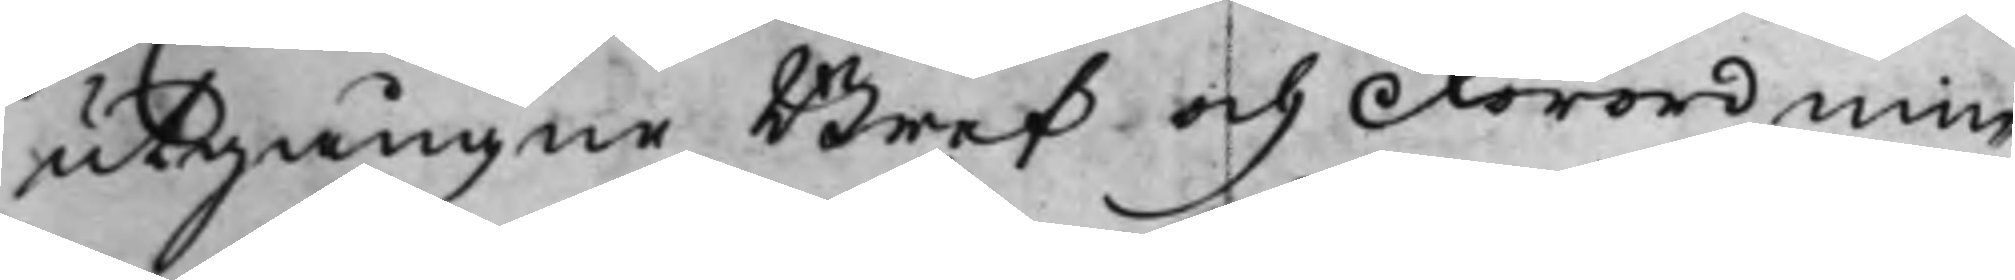utgångne Bref och Förordnin¬
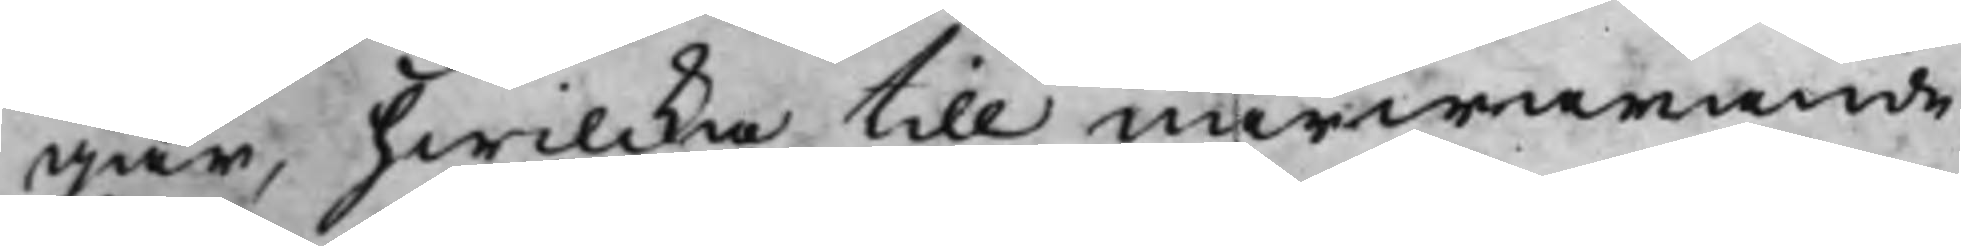gar, hwilcka till närwarande
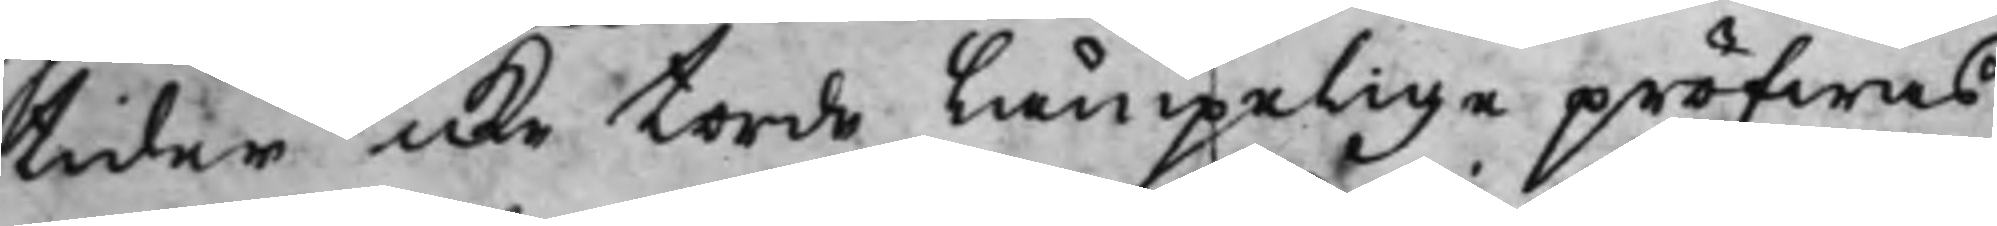tider icke torde Lämpelige pröfwas
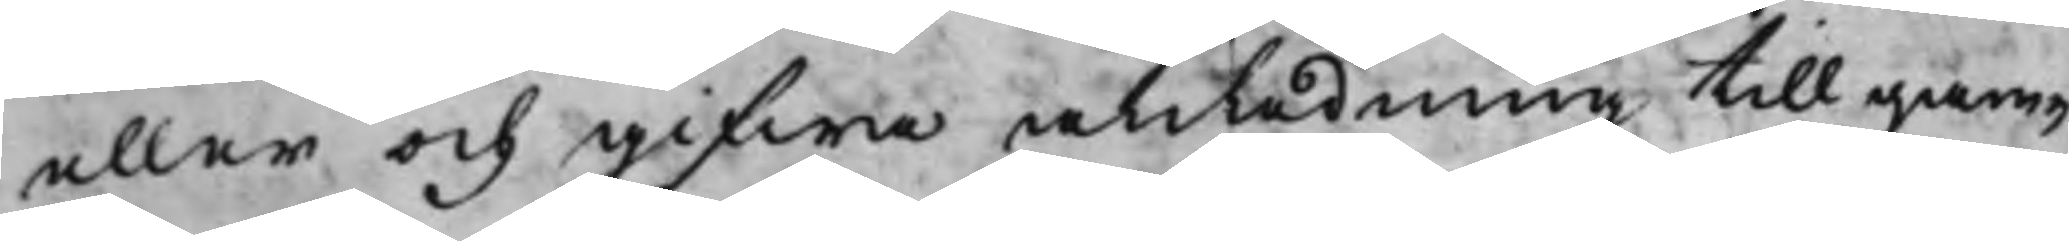eller och gifwa anledning till gam¬
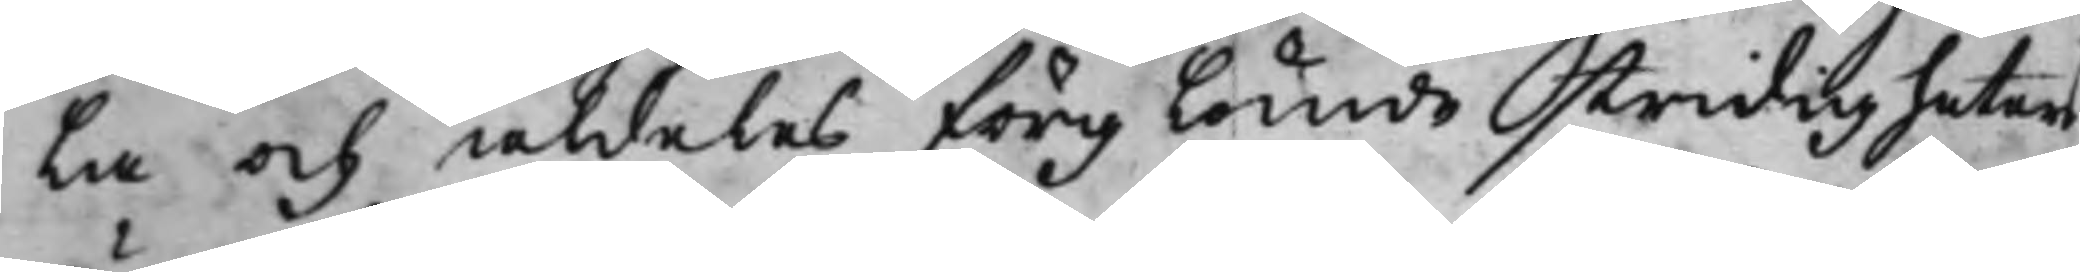la och aldeles förglömde stridigheters
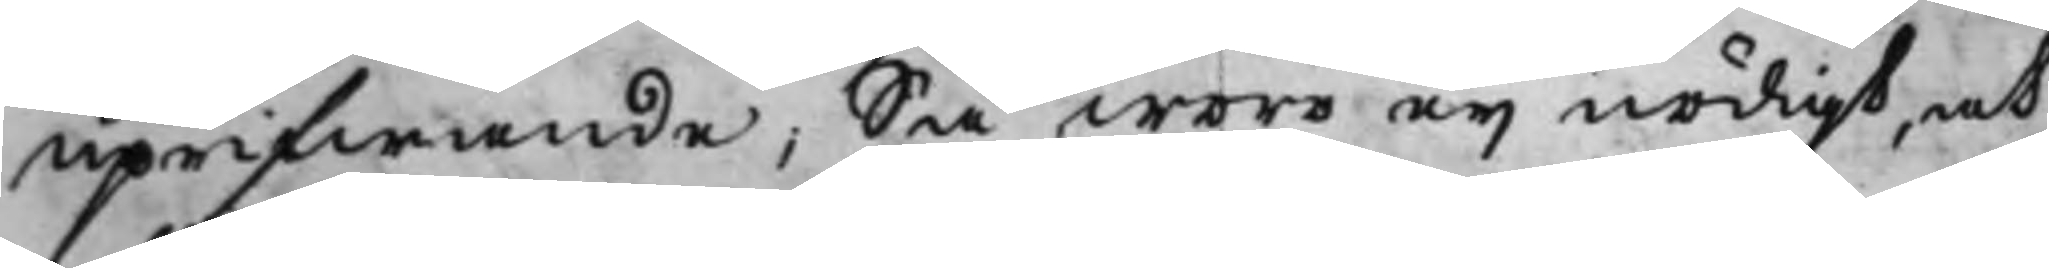uprifwande; Så woro eij nödigt, at
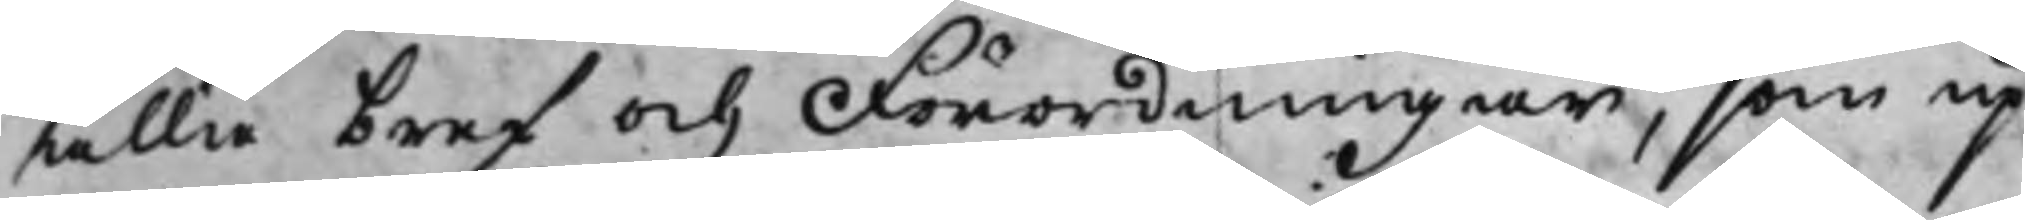alla bref och Förordningar, som up¬
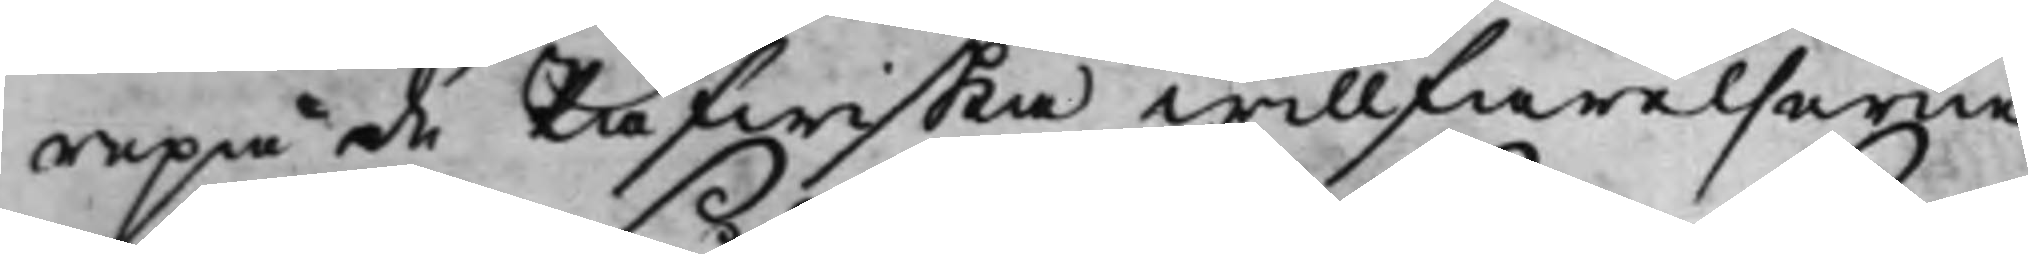repa de Påfwiska willfarelserne
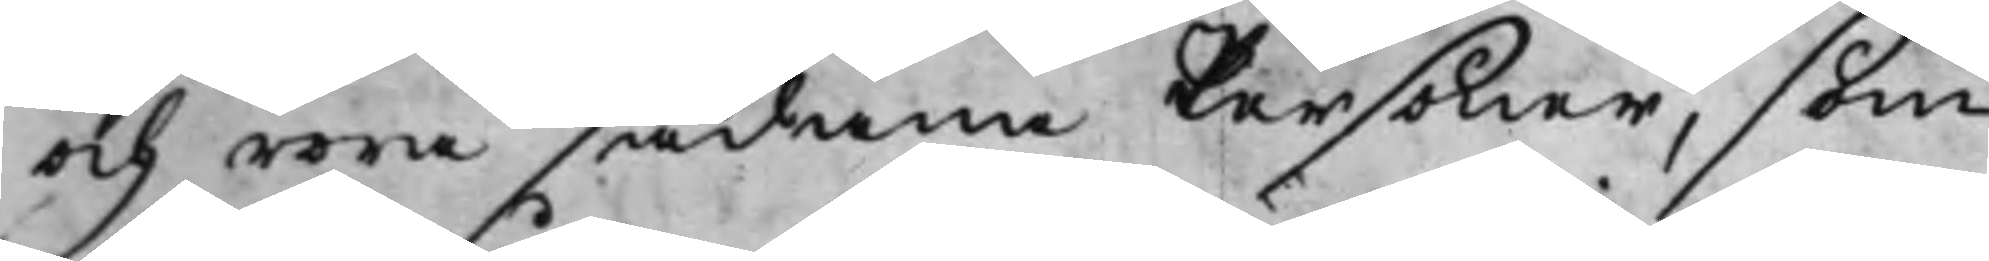och wore sådane Personer, som
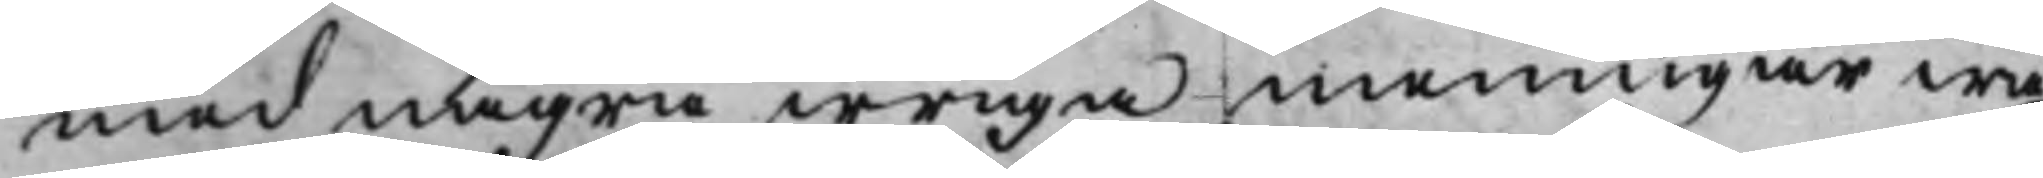med några iwriga meningar wa¬
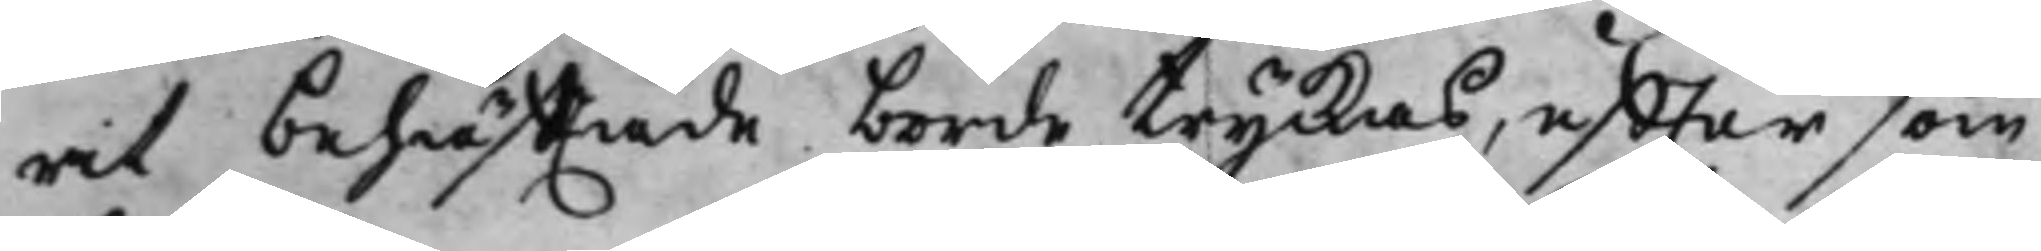rit behäfftade borde tryckas, effter som
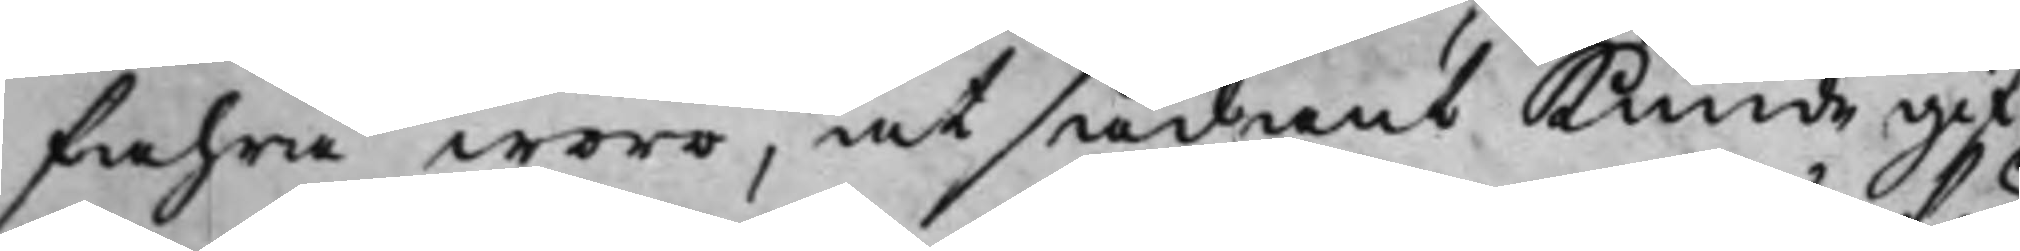fahra wore, at sådant kunde gif¬
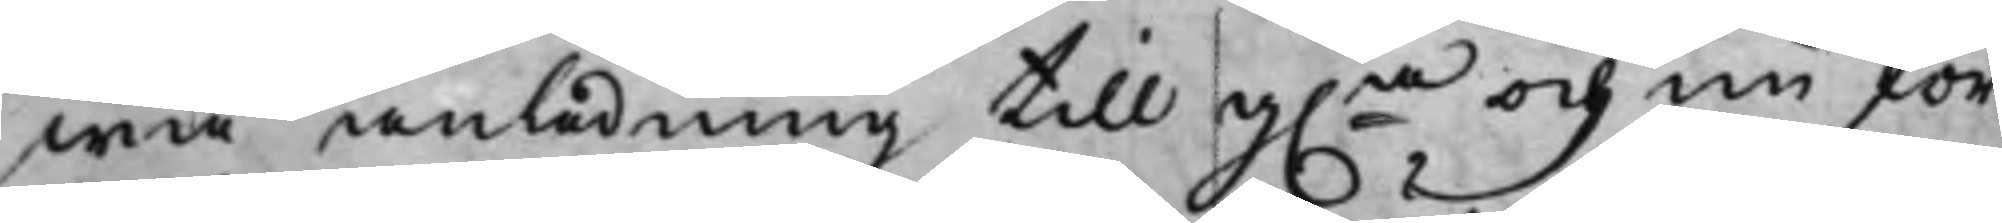wa anledning till g.e och nu för¬
